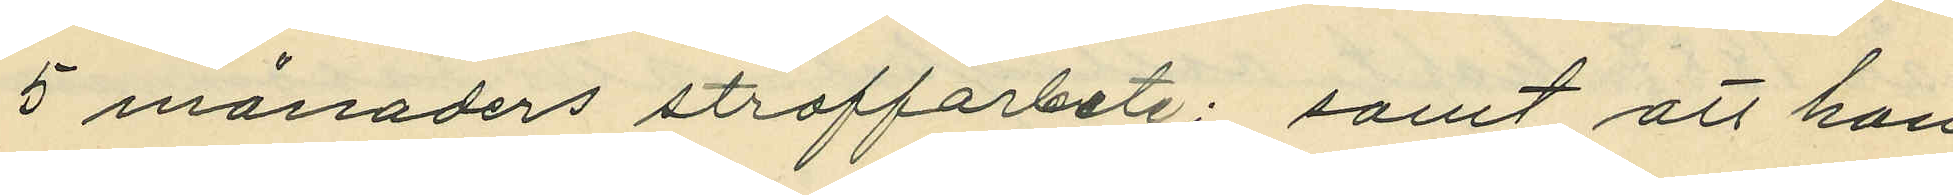5 månaders straffarbete; samt att han
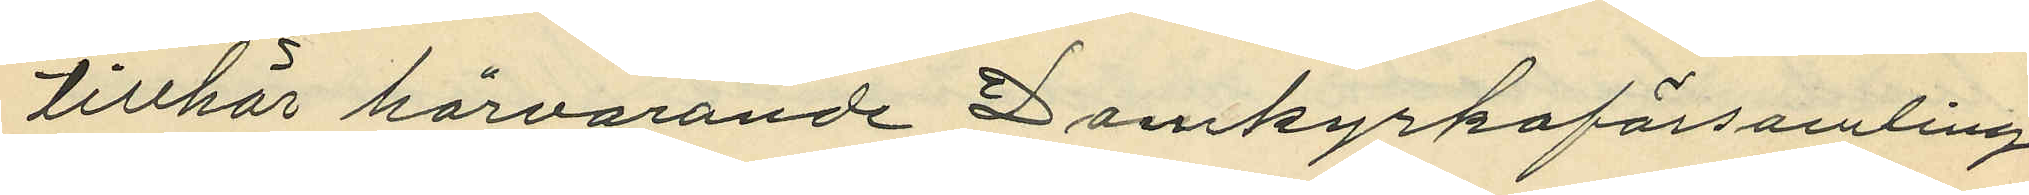tillhör härvarande Domkyrkoförsamling.
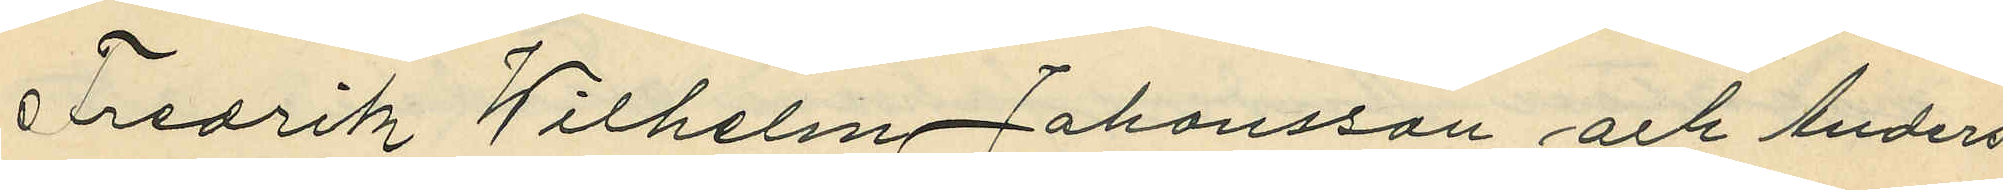Fredrik Wilhelm Johansson och Anders
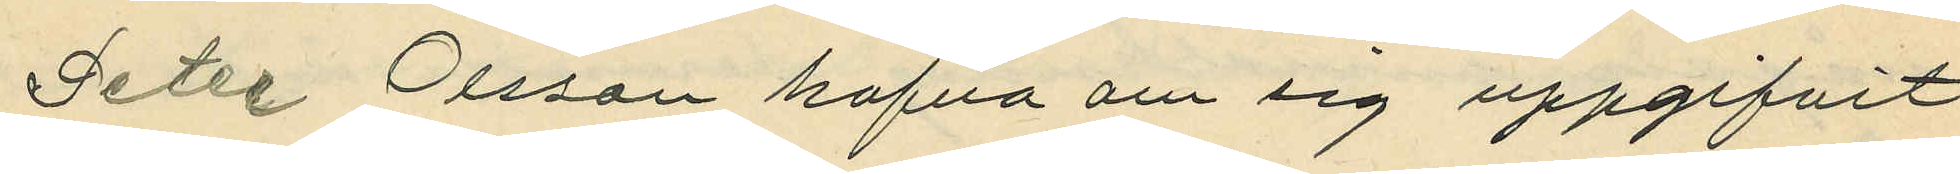Peter Olsson hafva om sig uppgifvit:
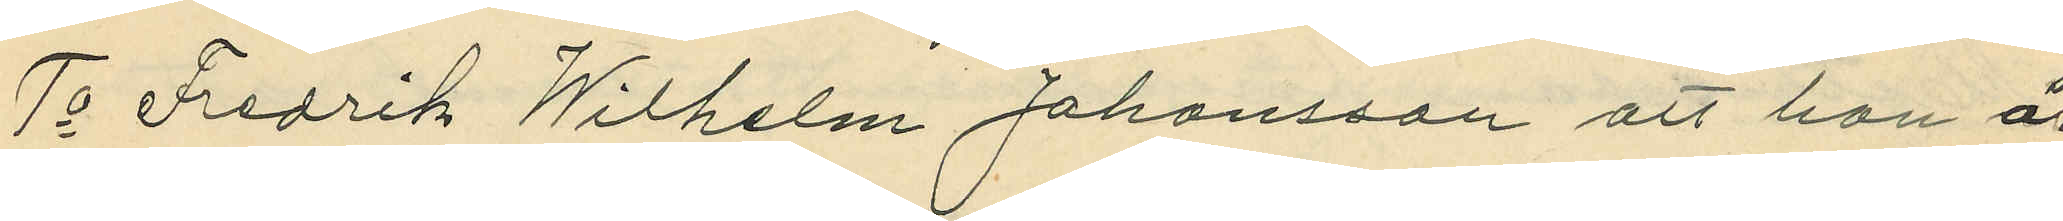1o Fredrik Wilhelm Johansson att han är
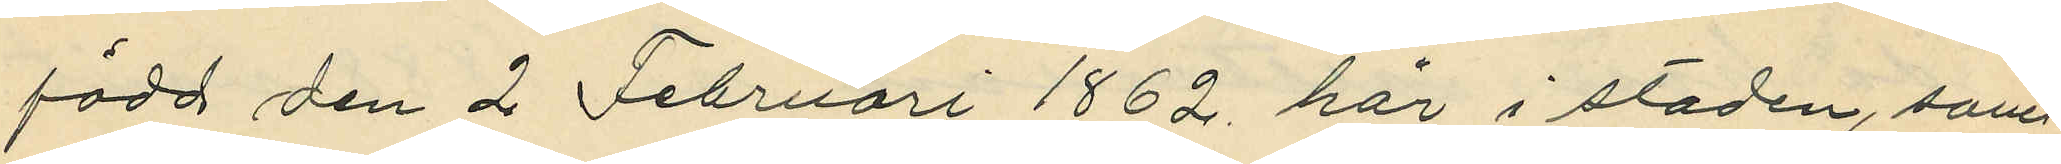född den 2 Februari 1862 här i staden, samt
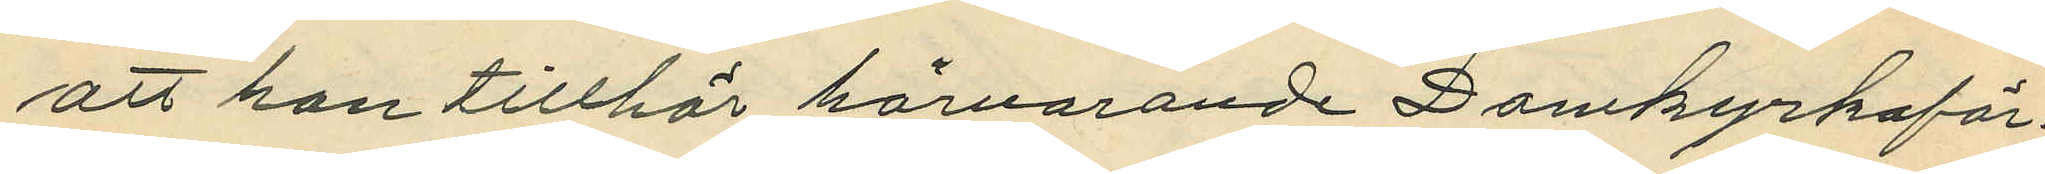att han tillhör härvarande Domkyrkoför¬
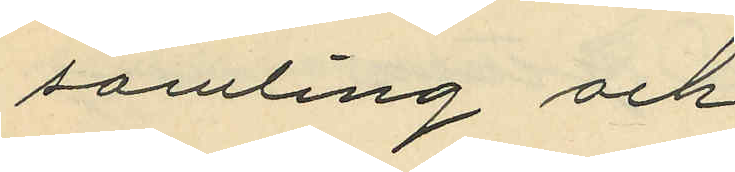samling och
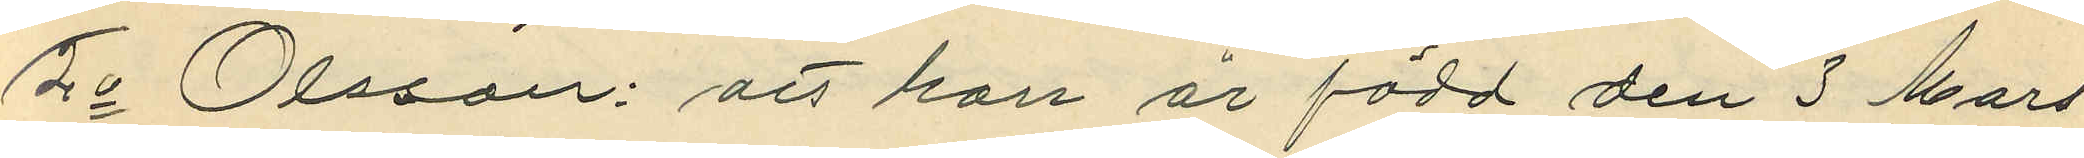2o Olsson: att han är född den 3 Mars
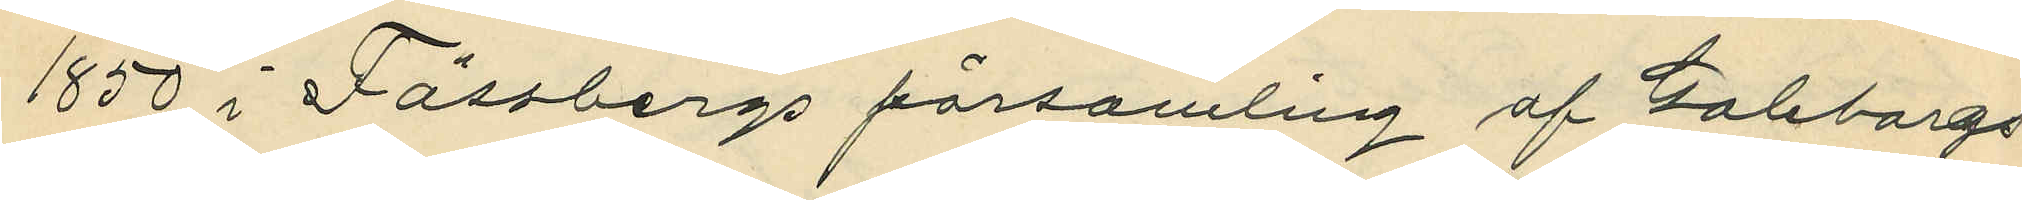1850 i Fässbergs församling af Göteborgs
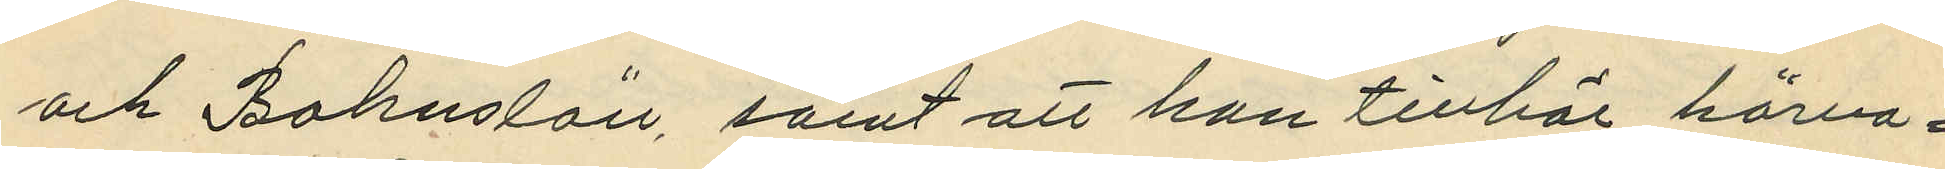och Bohuslän, samt att han tillhör härva¬
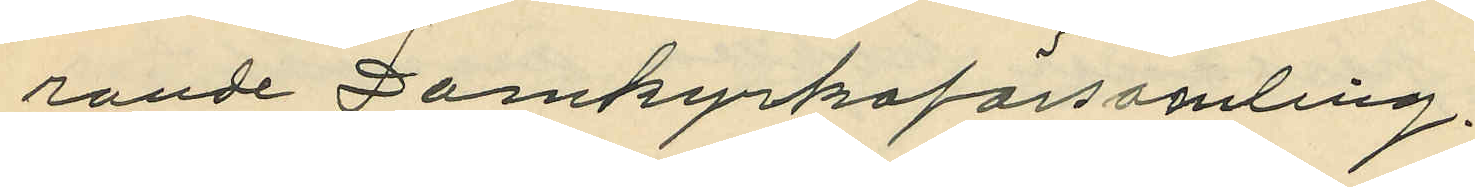rande Domkyrkoförsamling.
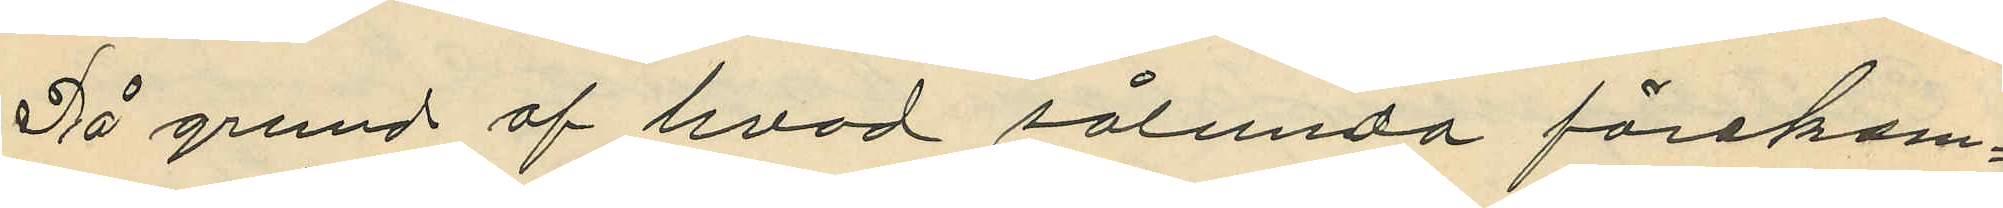På grund af hvad sålunda förekom¬
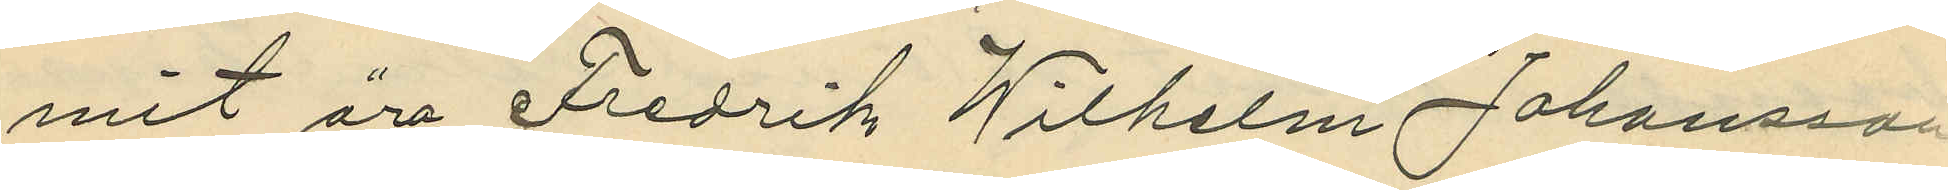mit äro Fredrik Wilhelm Johansson
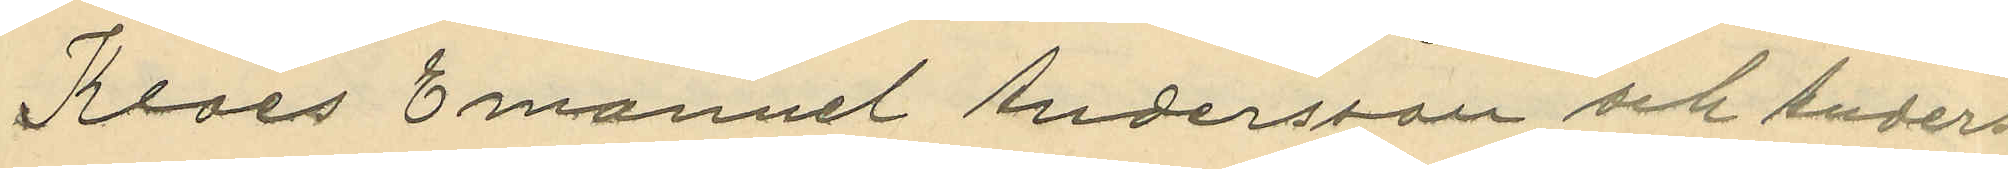Klaes Emanuel Andersson och Anders
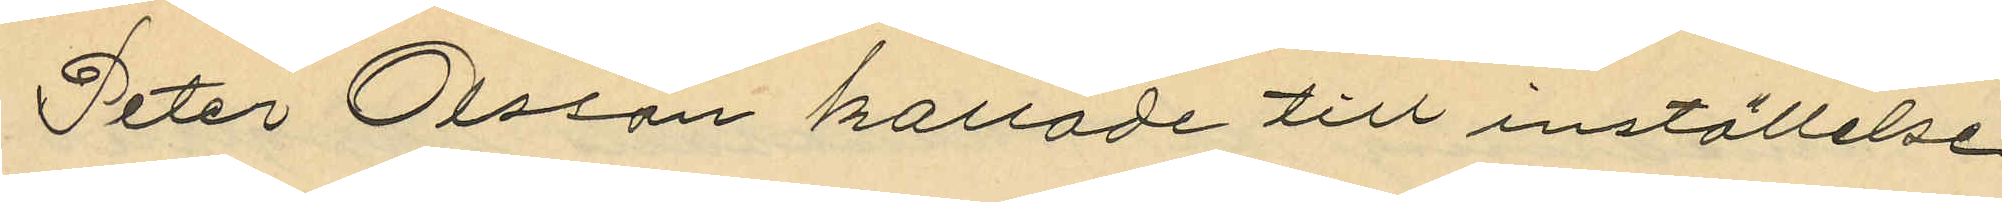Peter Olsson kallade till inställeslse
